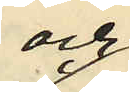och
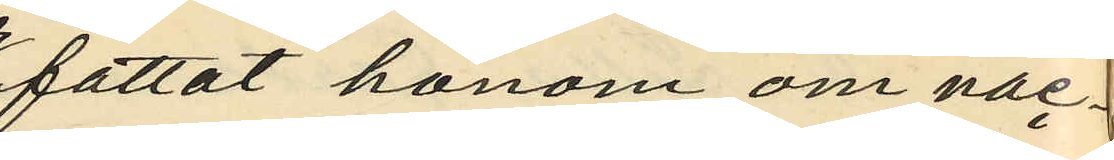fattat honom om nac¬
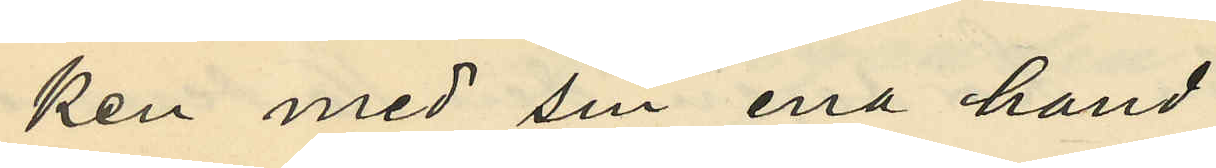ken med sin ena hand
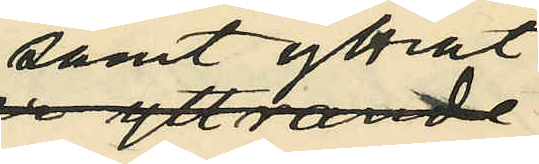samt yttrat
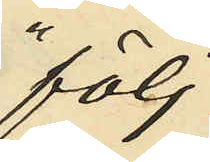"följ
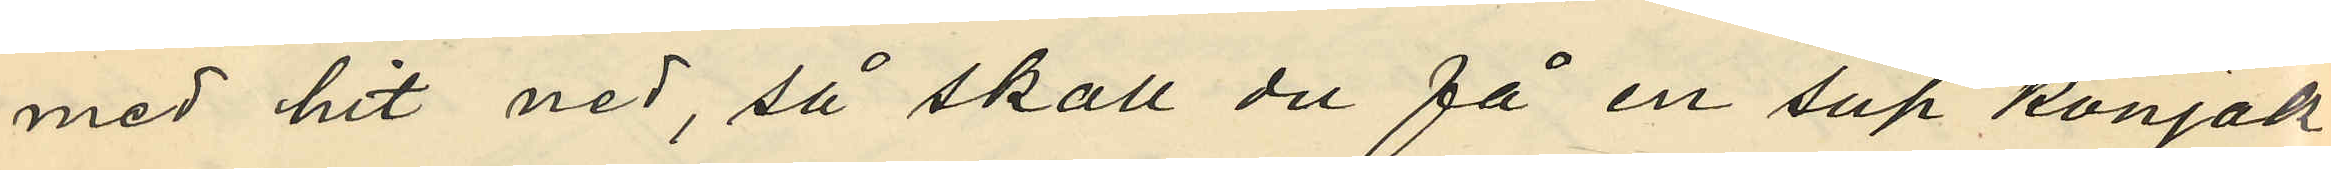med hit ned, så skall du få en sup konjak,
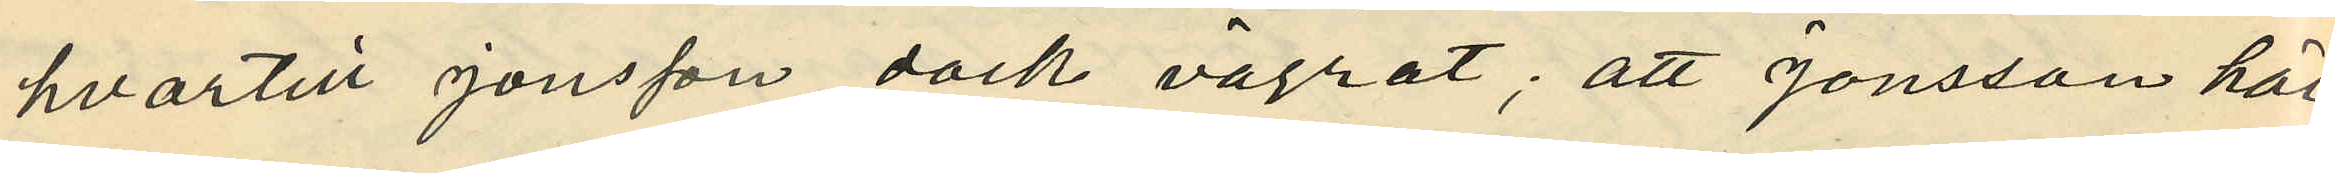hvartill Jonsson dock vägrat; att Jonsson här¬
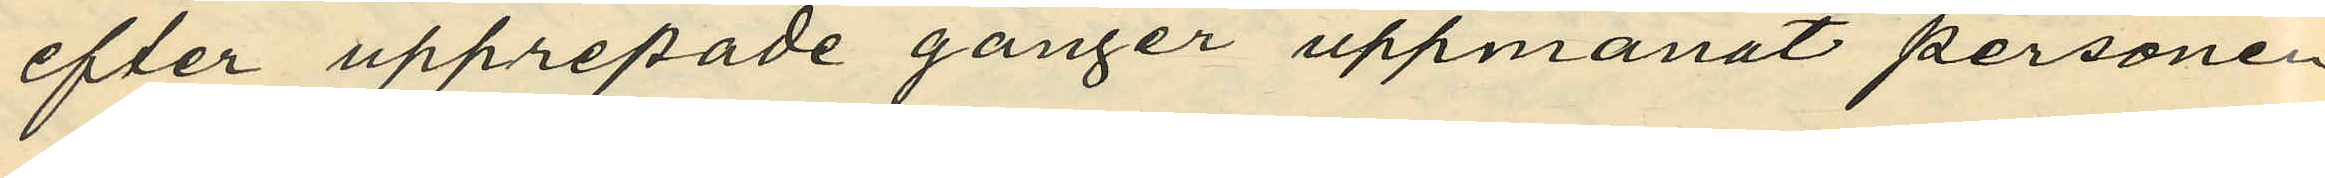efter upprepade gånger uppmanat personen
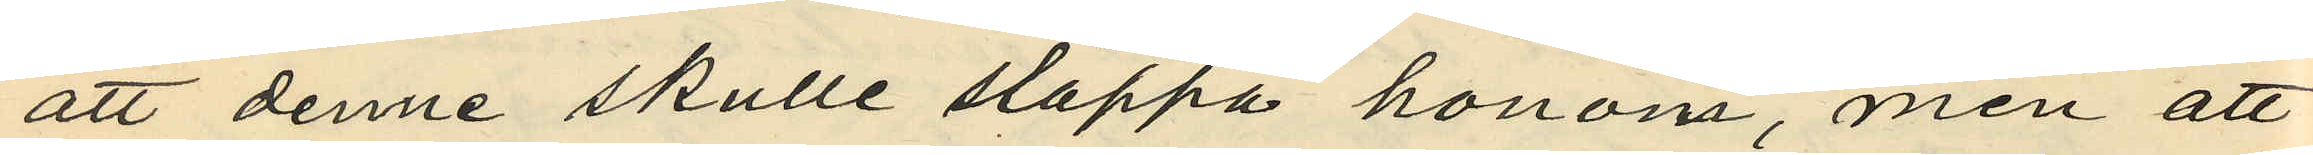att denne skulle släppa honom, men att
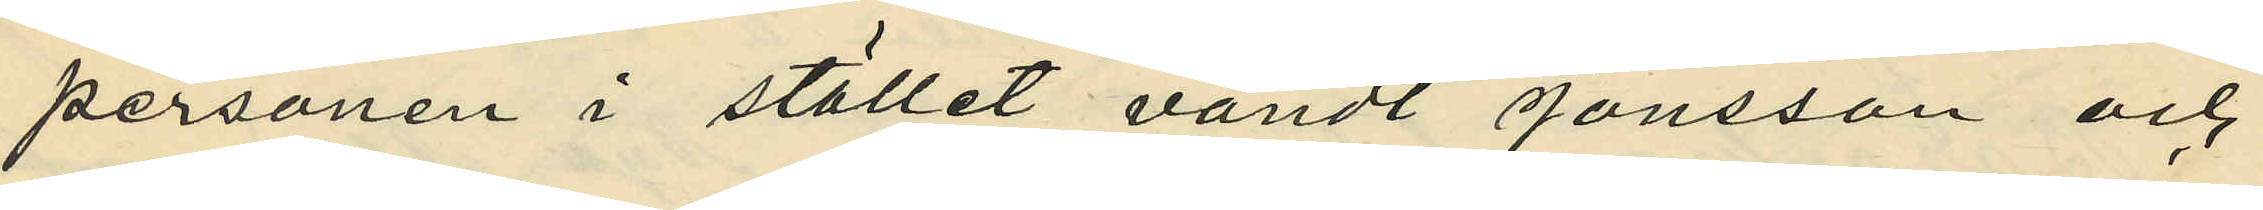personen i stället vändt Jonsson och
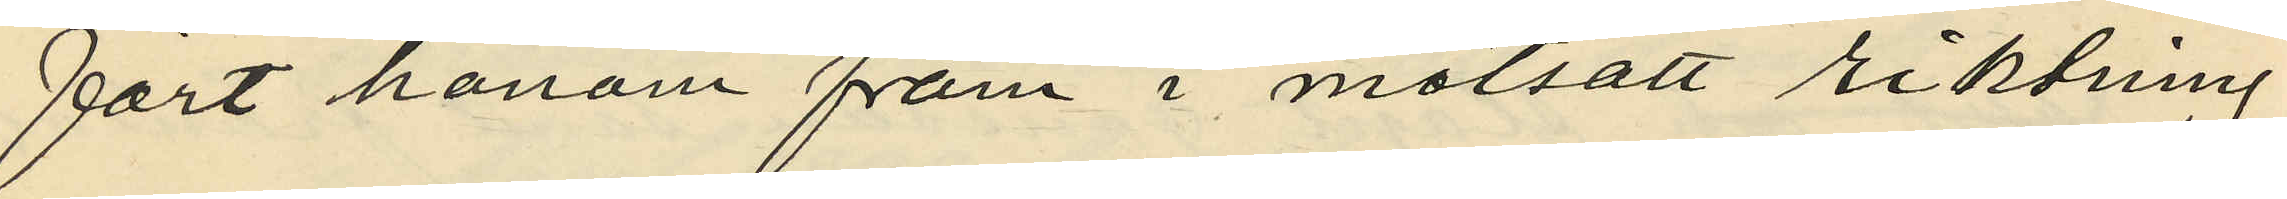fört honom fram i motsatt riktning
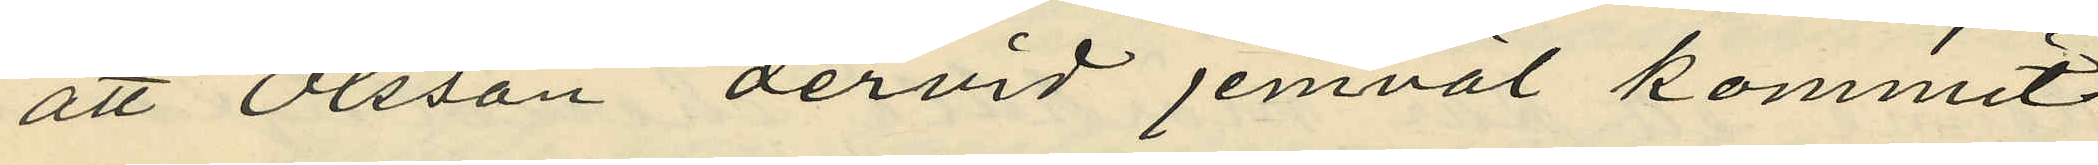att Olsson dervid jemväl kommit
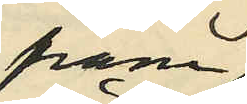fram
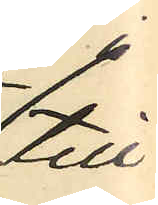till
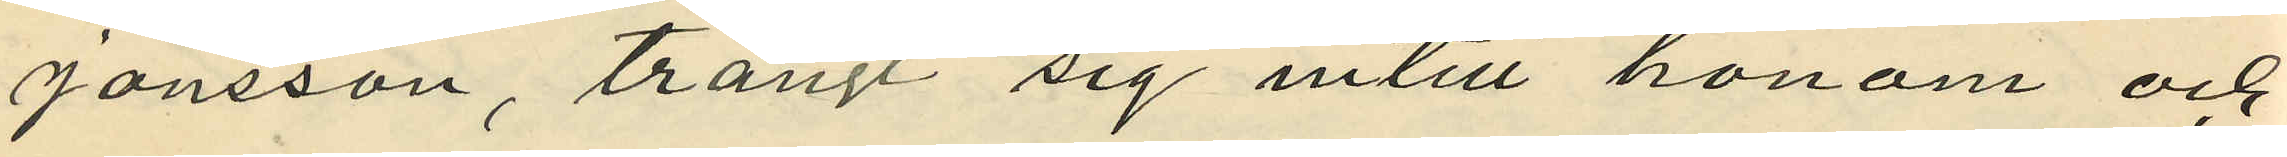Jonsson, trängt sig intill honom och
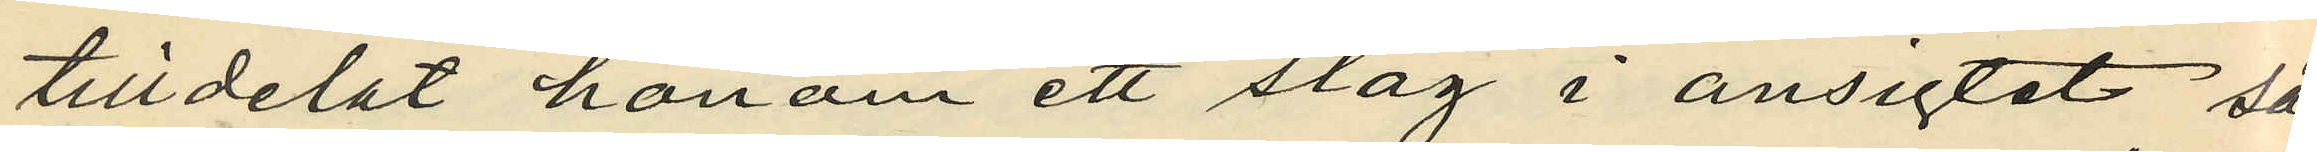tilldelat honom ett slag i ansigtet så
